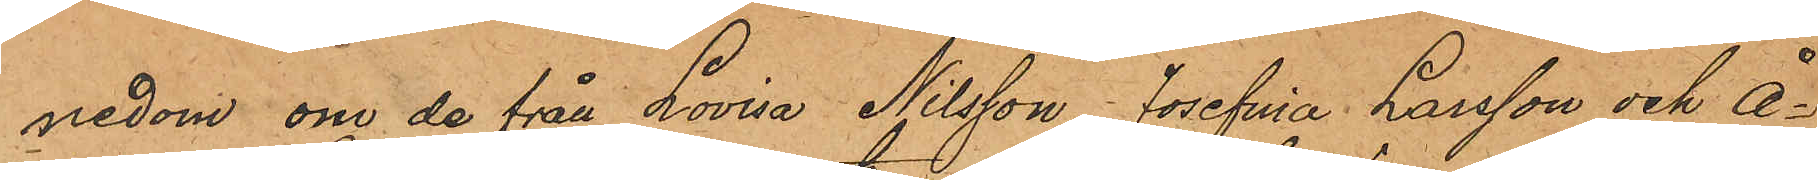nedom om de från Lovisa Nilsson, Josefina Larsson och Å¬
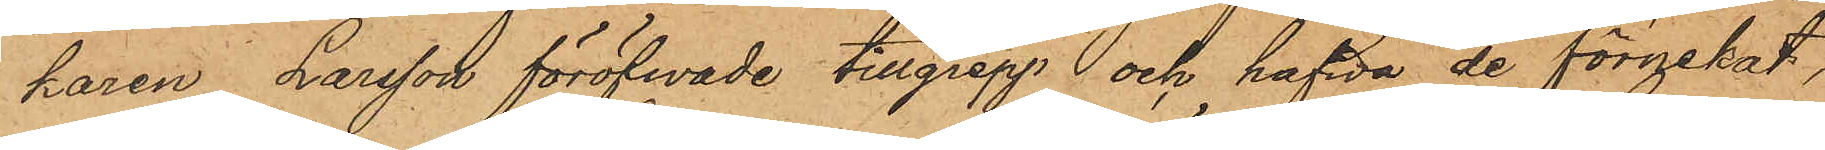karen Larsson föröfwade tillgrepp och hafwa de förnekat,
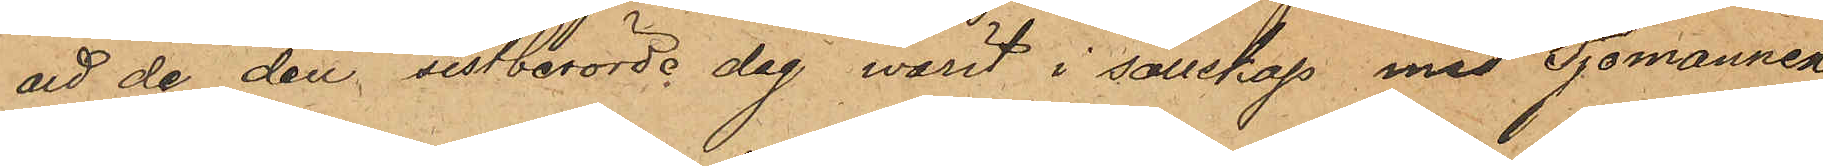att de den sistberörde dag warit i sällskap med Sjömannen
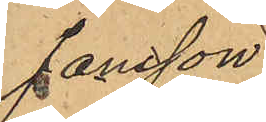Jansson.
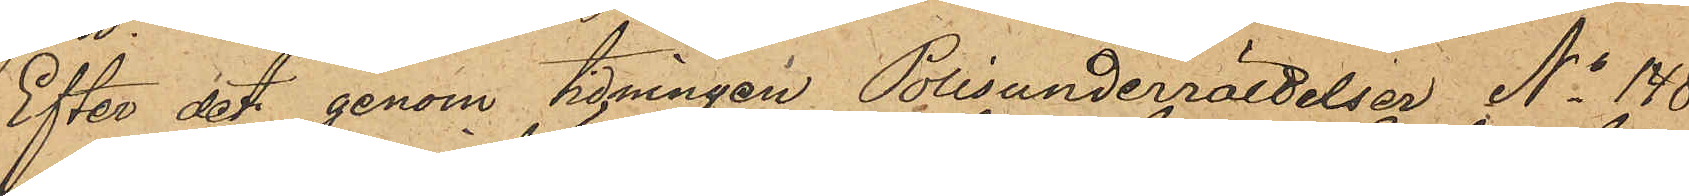Efter det genom tidningen Polisunderrättelser No 148
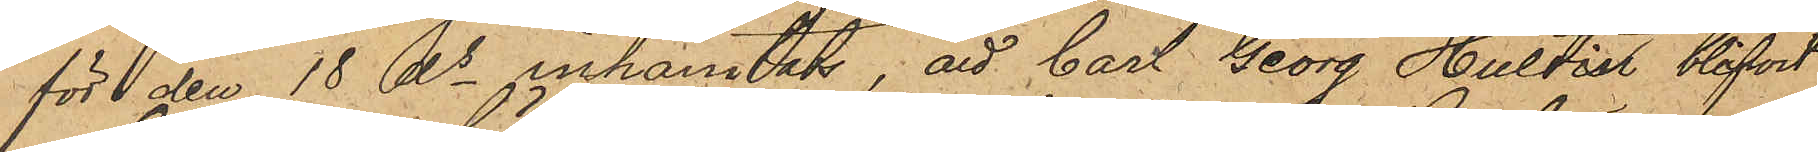för den 18 ds inhämtats; att Carl Georg Hultin blifvit
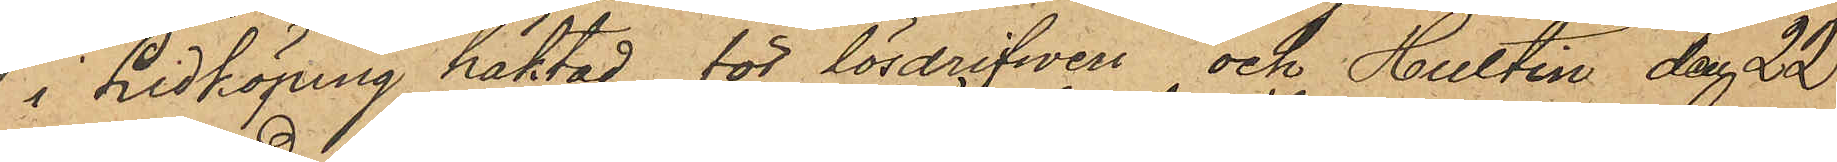i Lidköping häktad för lösdrifweri och Hultin den 22
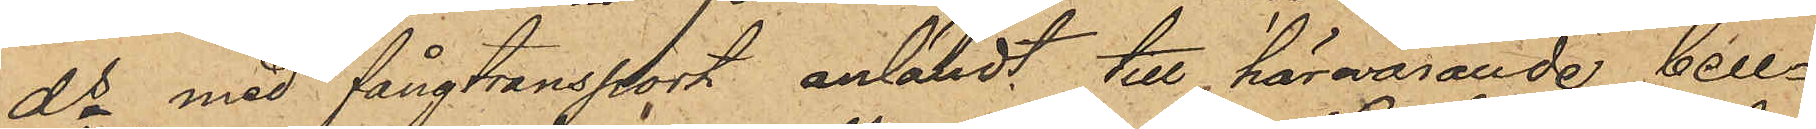ds med fångtransport anländt till härvarande Cell¬
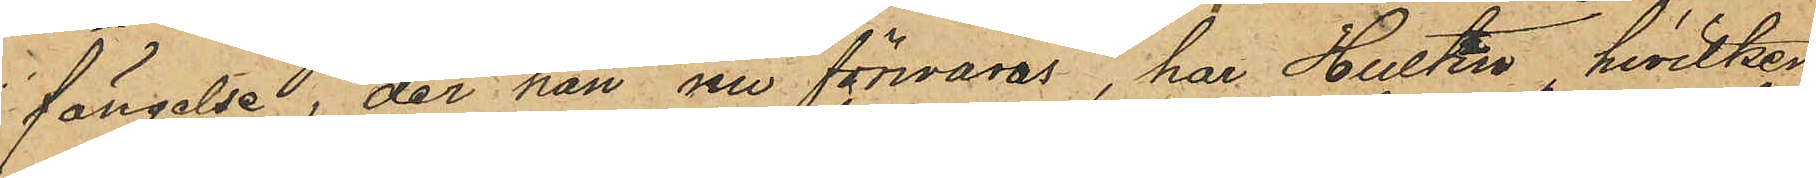fängelse, der han nu förvaras, har Hultin, hvilken
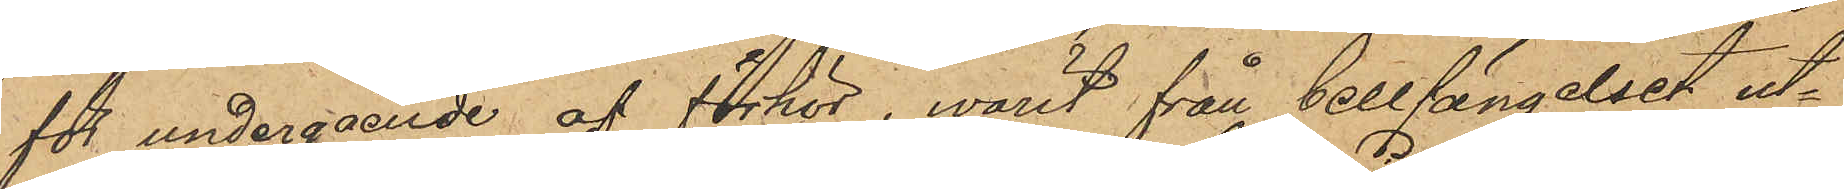för undergående af förhör, warit från Cellfängelset ut¬
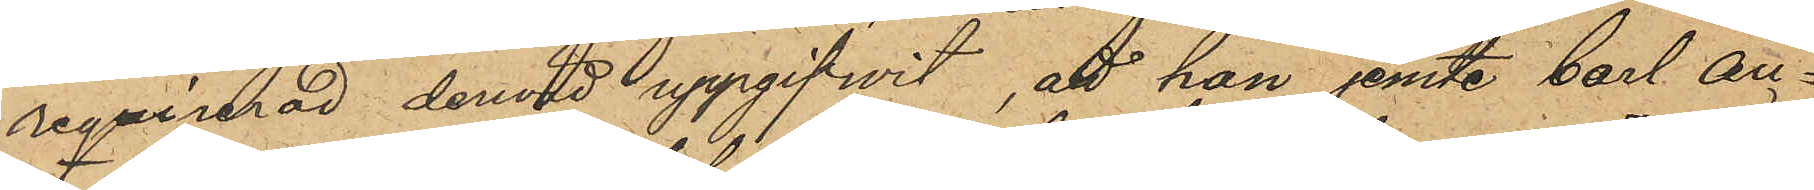reqvirerad derwid uppgifwit, att han jemte Carl Au¬
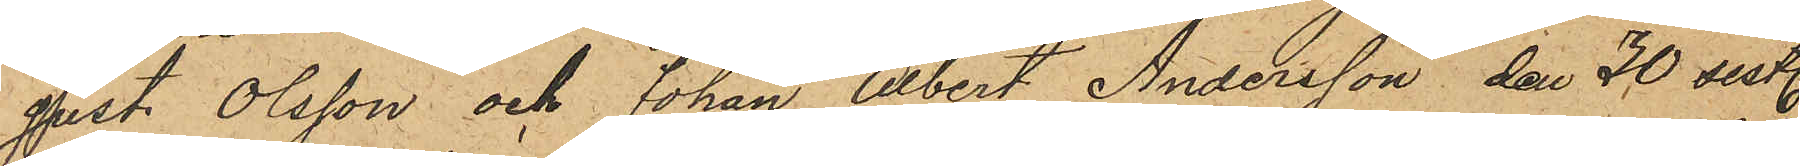gust Olsson och Johan Albert Andersson, den 30 sist.
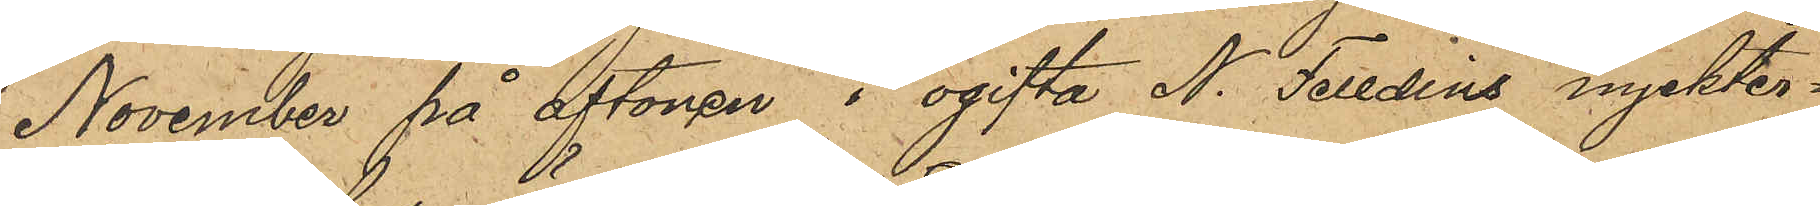November på aftonen i ogifta N. Felldins nyckter¬
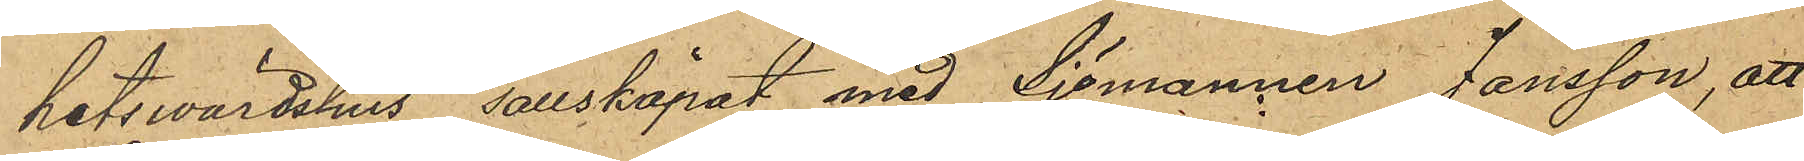hetswärdshus, sällskapat med Sjömannen Jansson, att
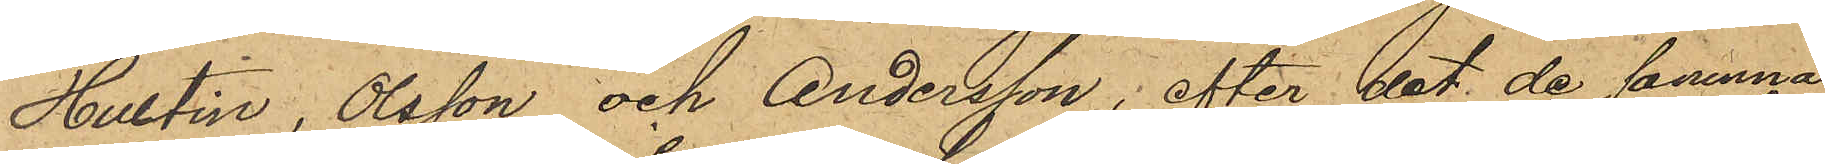Hultin, Olsson och Andersson; efter det de samma
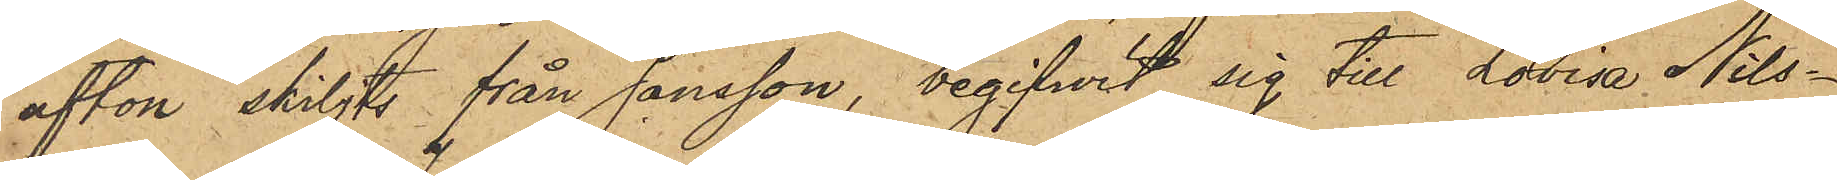afton skiljts från Jansson, begifwit sig till Lovisa Nils¬
